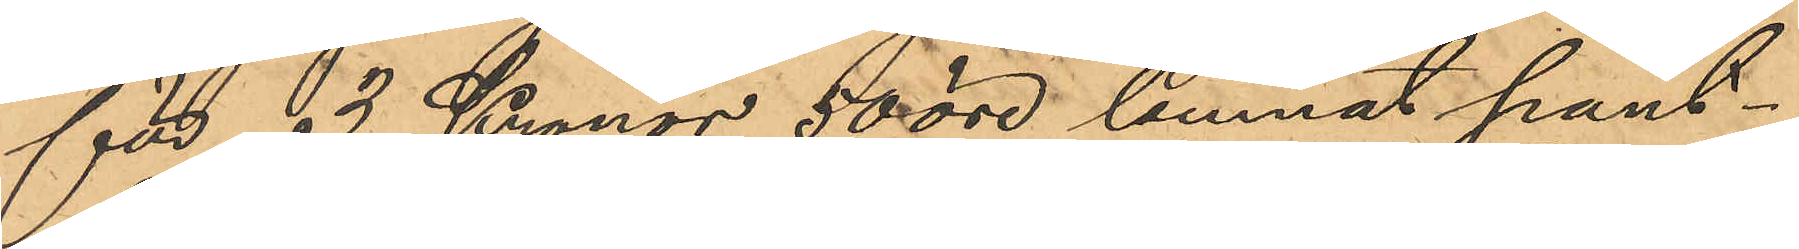för 3 Kronor 50 öre lemnat pant¬
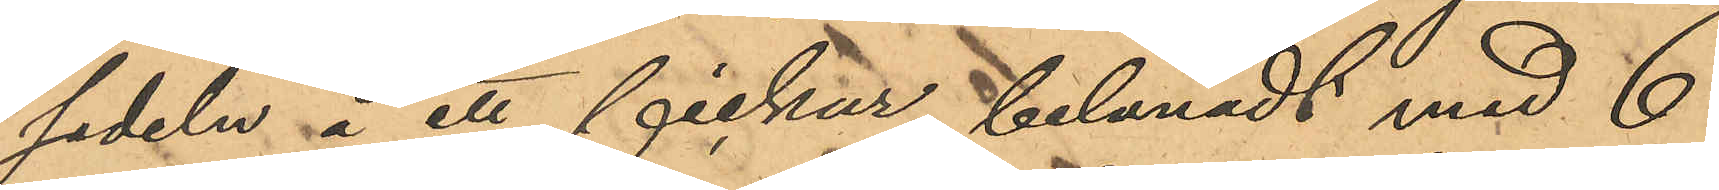sedeln å ett fickur, belånadt med 6
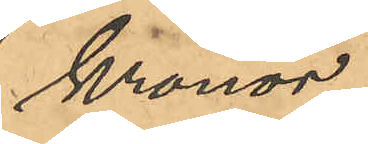Kronor
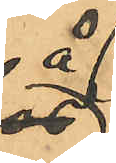å
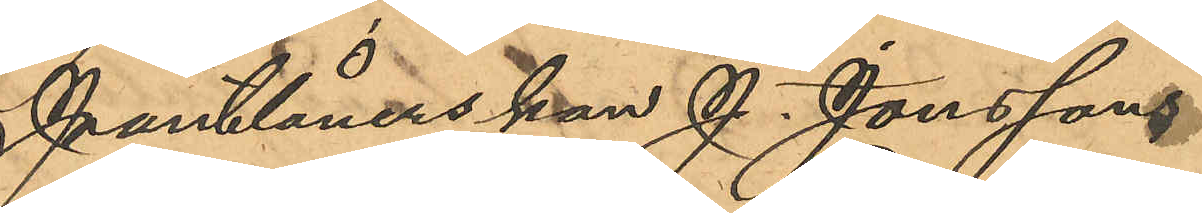Pantlånerskan J. Jonssons
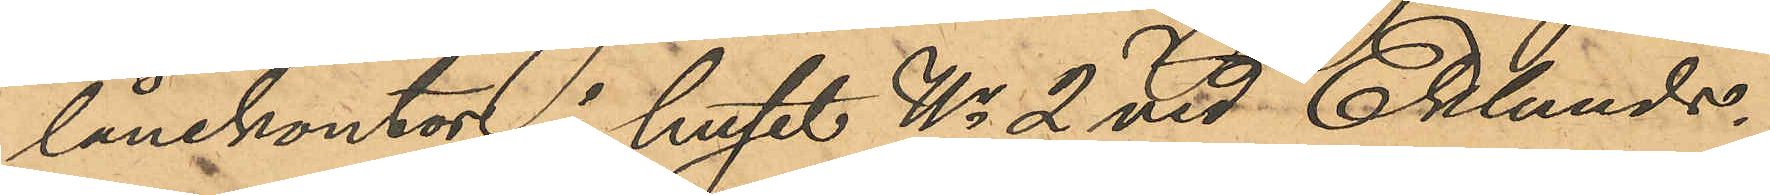lånekontor i huset No 2 vid Eklunds¬
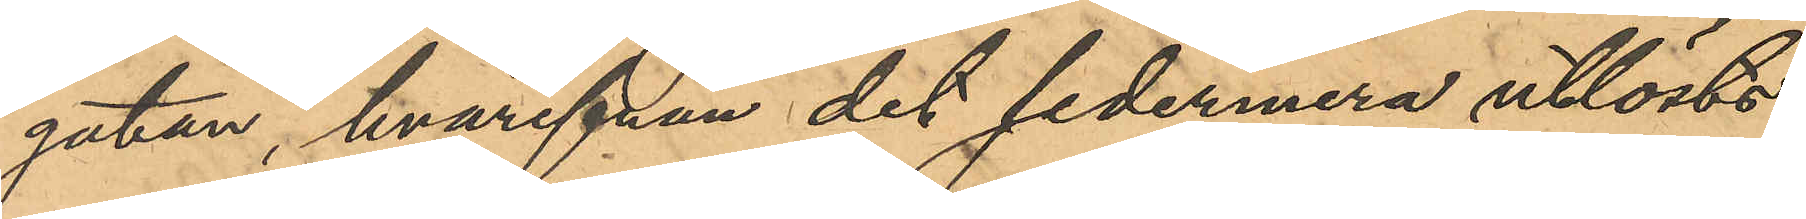gatan, hvarifrån det sedermera utlösts
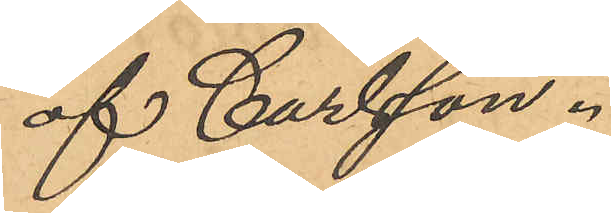af Carlsson.
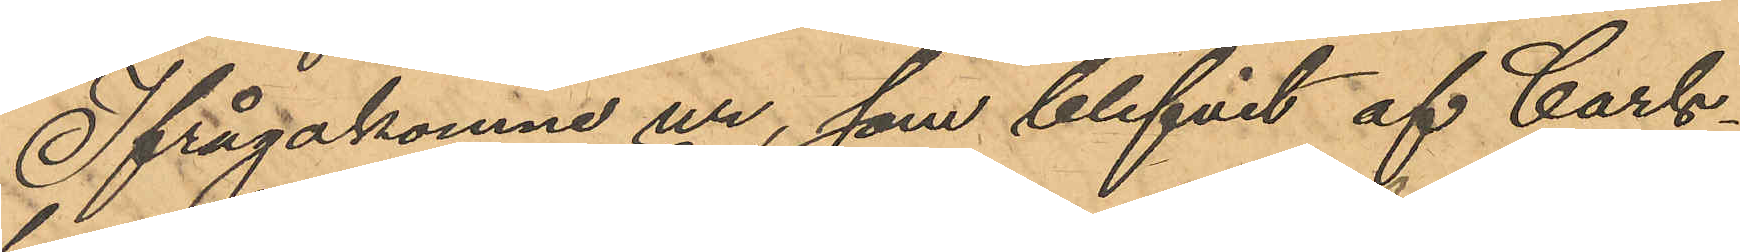Ifrågakomne ur, som blifvit af Carls¬
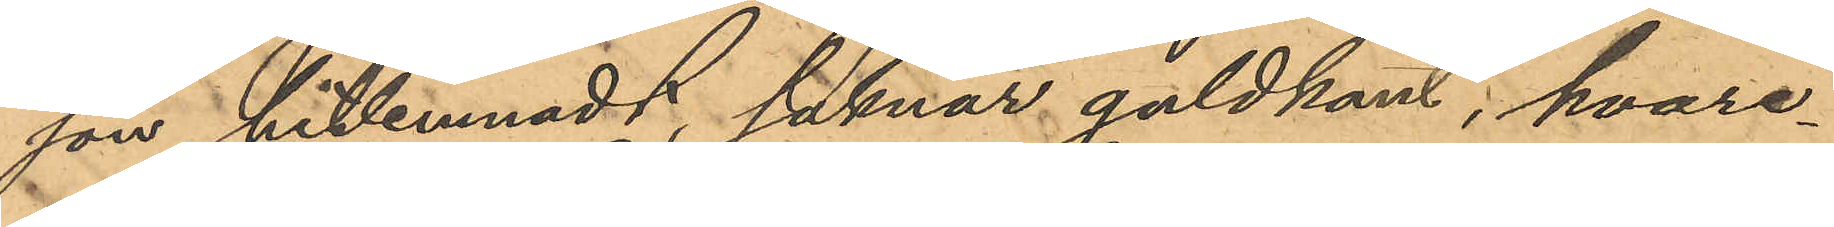son hitlemnadt, saknar guldkant; hvare¬
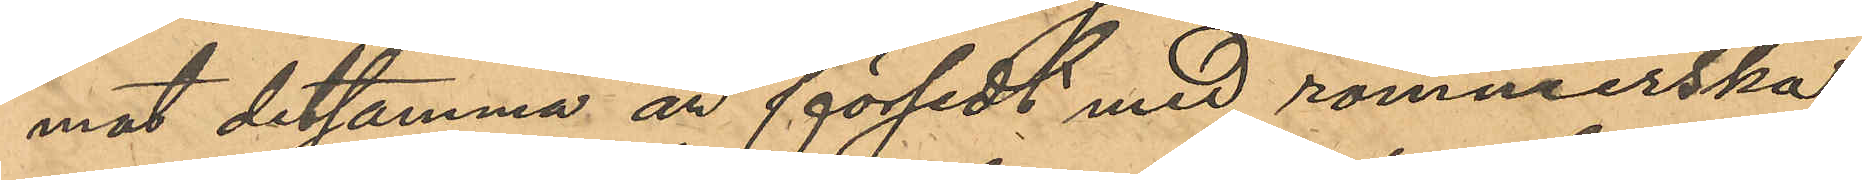mot detsamma är försedt med rommerska
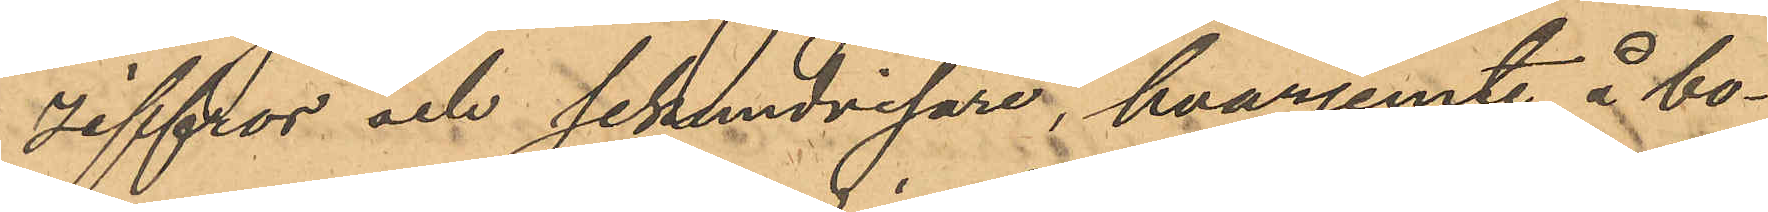siffror och sekundvisare, hvarjemte å bo¬
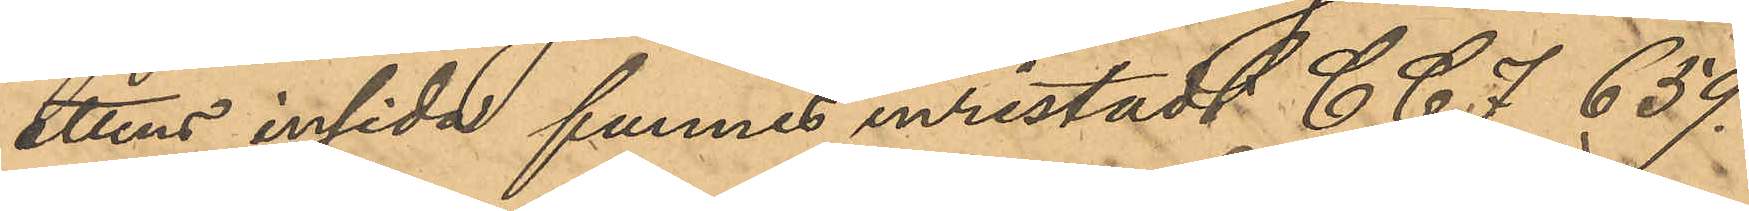ettens insida funnes inristadt C C J 659.
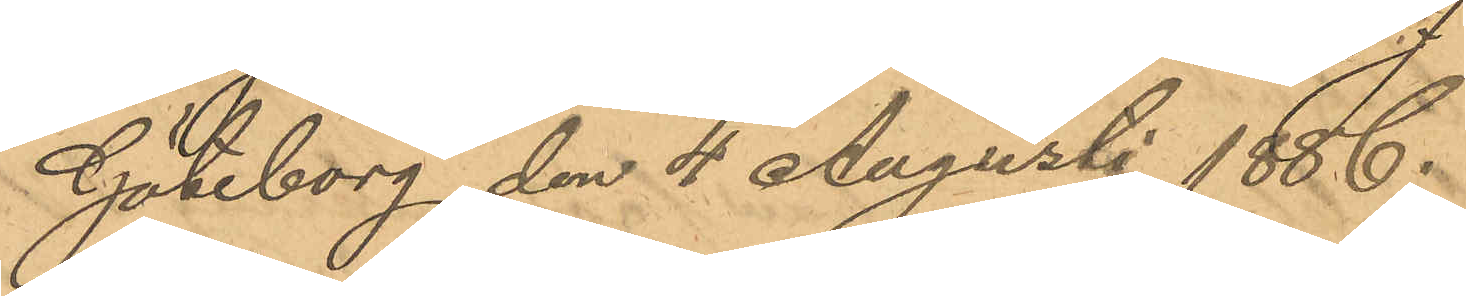Göteborg den 4 Augusti 1886.
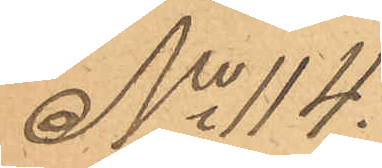No 114.
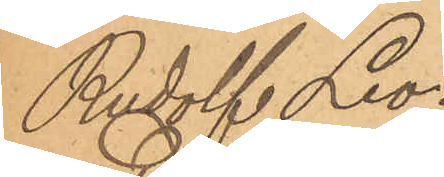Rudolf Leo¬
